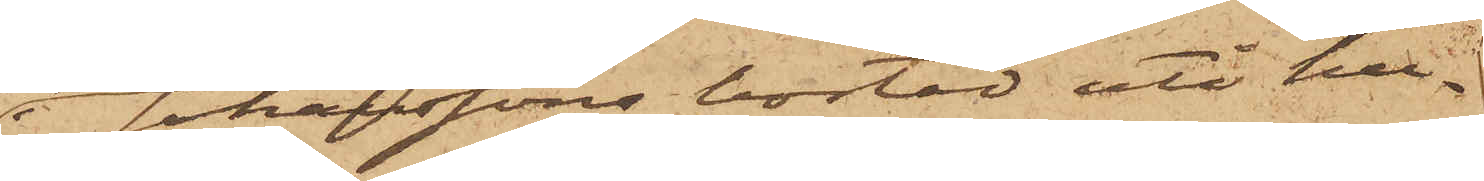i Johanssons bostad uti hu¬
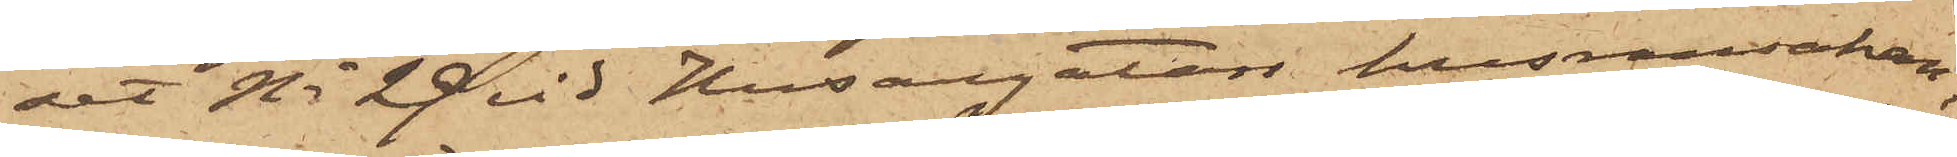set No 29 vid Husargatan husransakan,
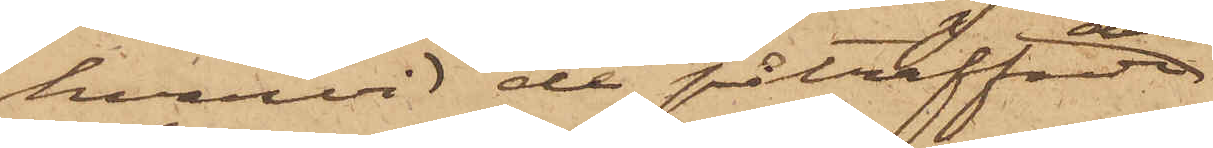hvarvid de påträffade
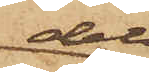dels
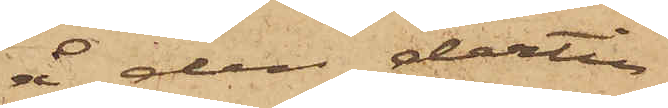 å den dertill
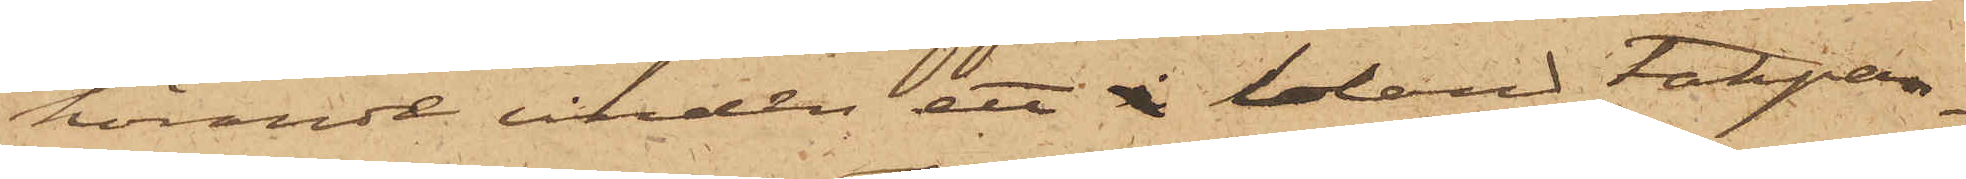hörande vinden ett i bland takpan¬
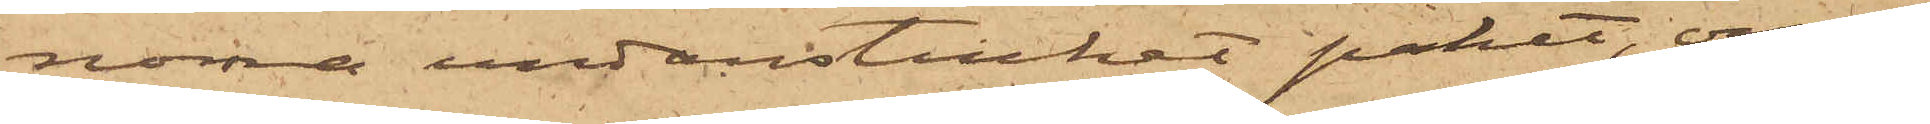norna undanstucket paket, om¬
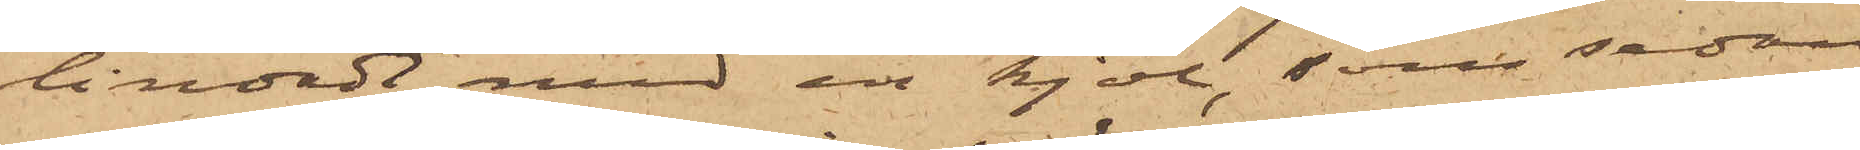lindadt med en kjol, som sedan
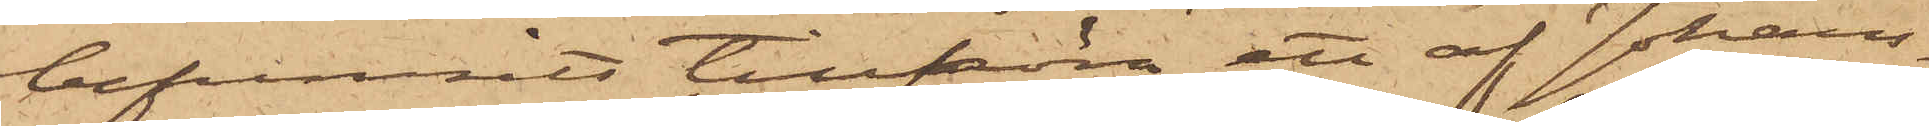befunnits tillhöra ett af Johans¬
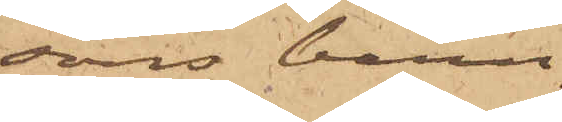sons barn,
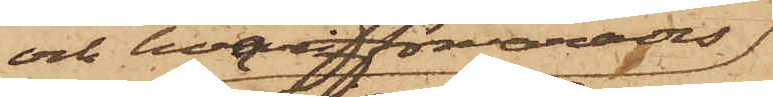och hvari förvarades
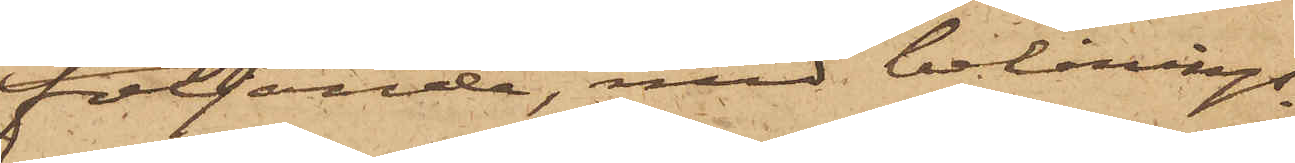följande, med belånings¬
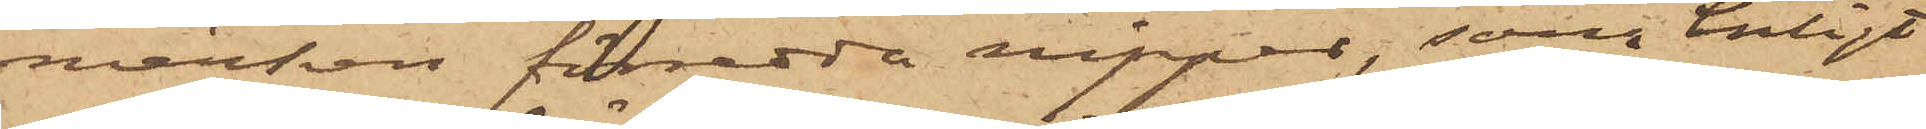märken försedda nipper, som enligt
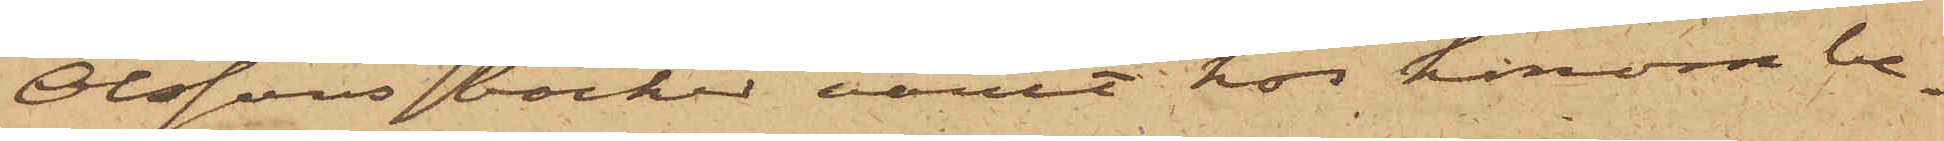Olssons böcker varit hos honom be¬
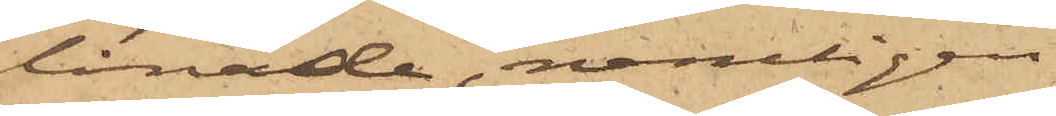lånade, nemligen
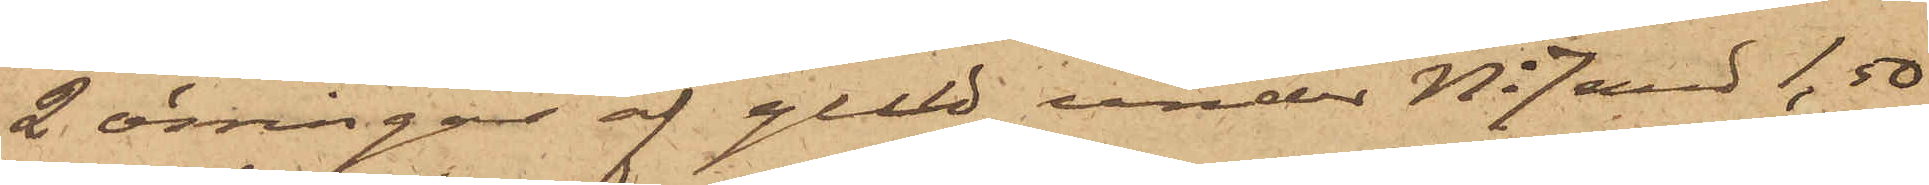2 örringar af guld under No 7 med 1,50
